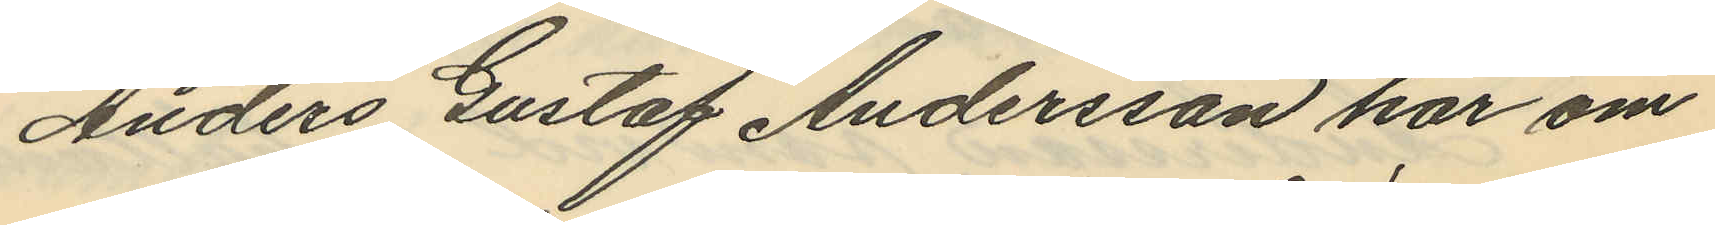Anders Gustaf Andersson har om
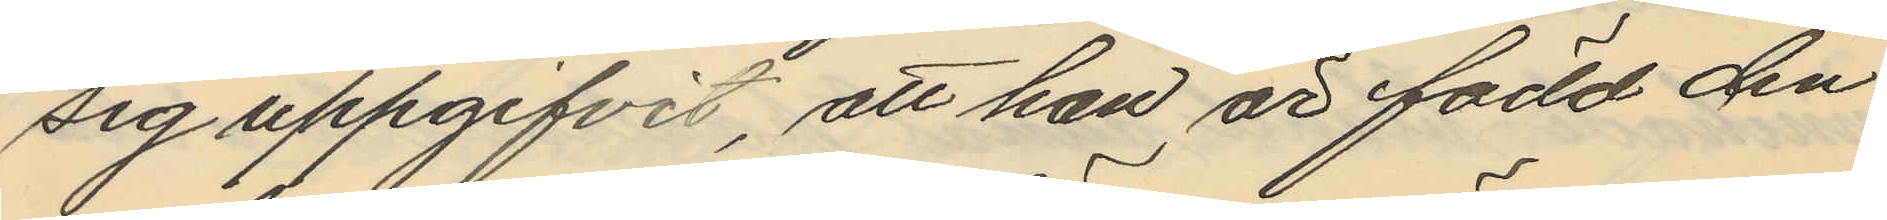sig uppgifvit, att han är född den
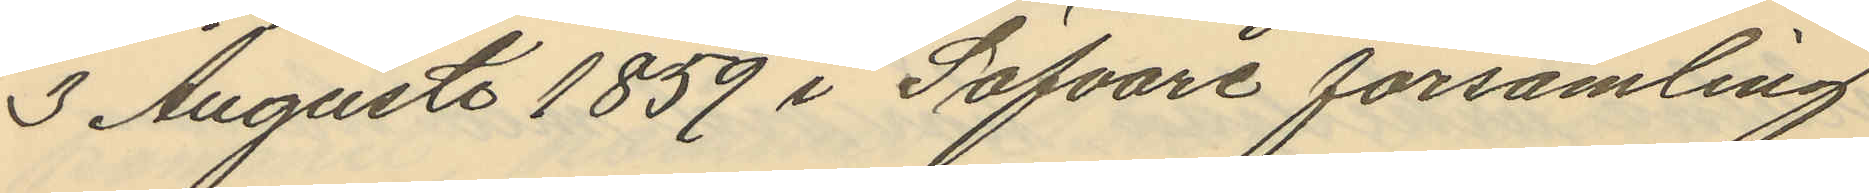3 Augusti 1859 i Säfvare församling.
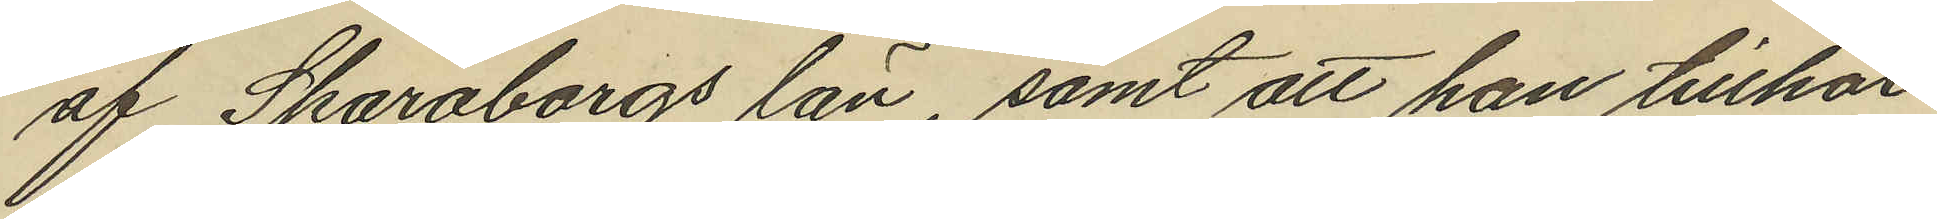af Skaraborgs län, samt att han tillhör
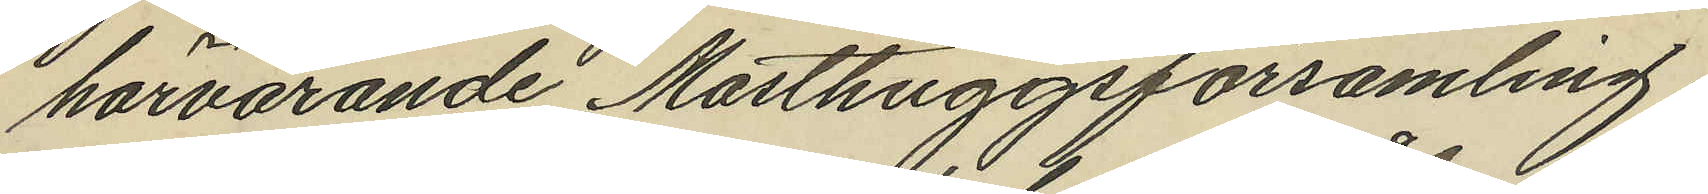härvarande Masthuggsförsamling
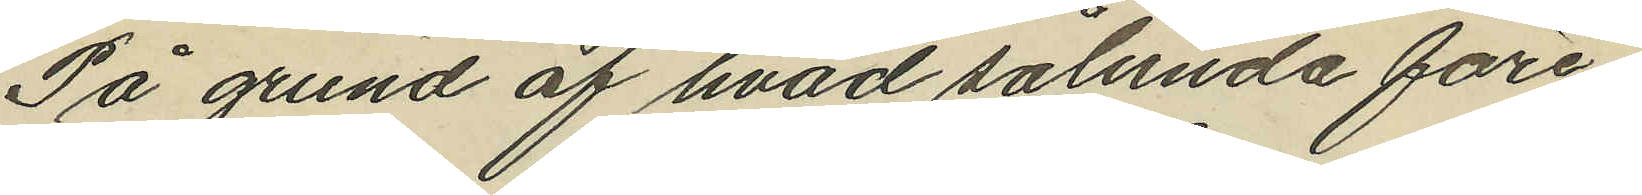På grund af hvad sålunda före¬
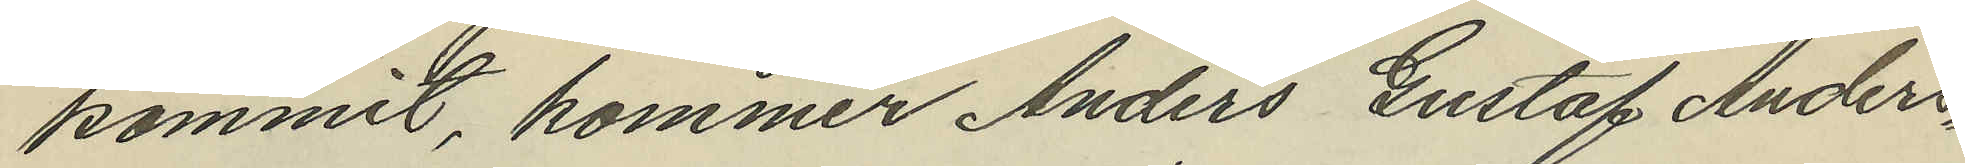kommit, kommer Anders Gustaf Anders¬
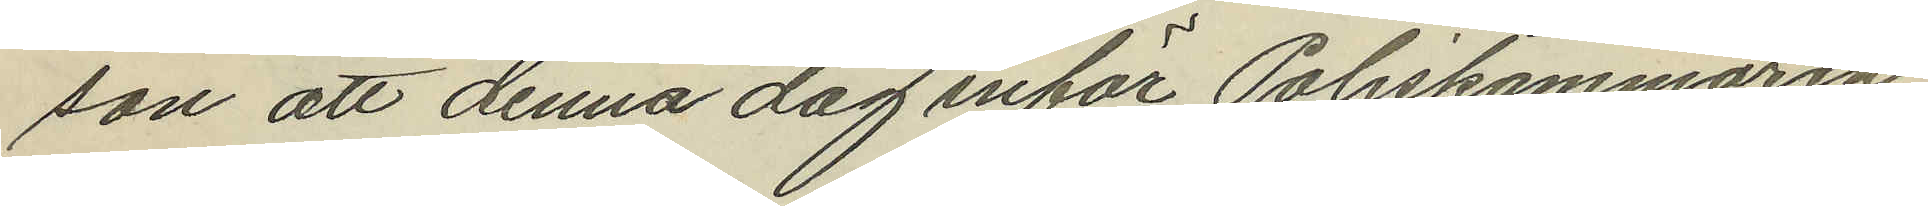son att denna dag inför Poliskammaren
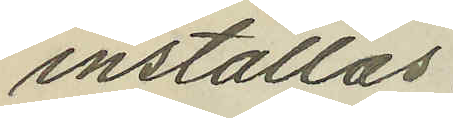inställas.
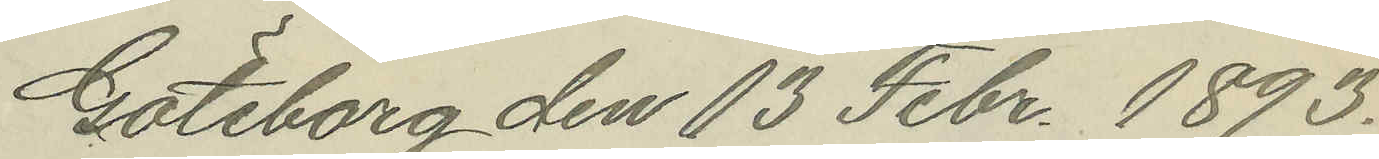Göteborg den 13 Febr. 1893.
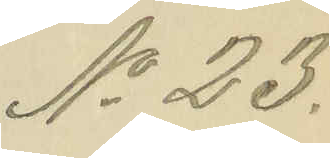No 23.
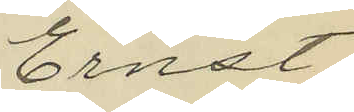Ernst
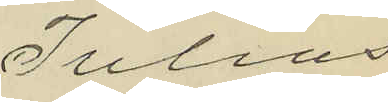Julius
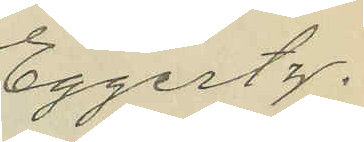Eggertz
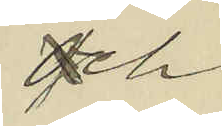och
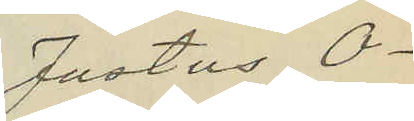Justus O¬
